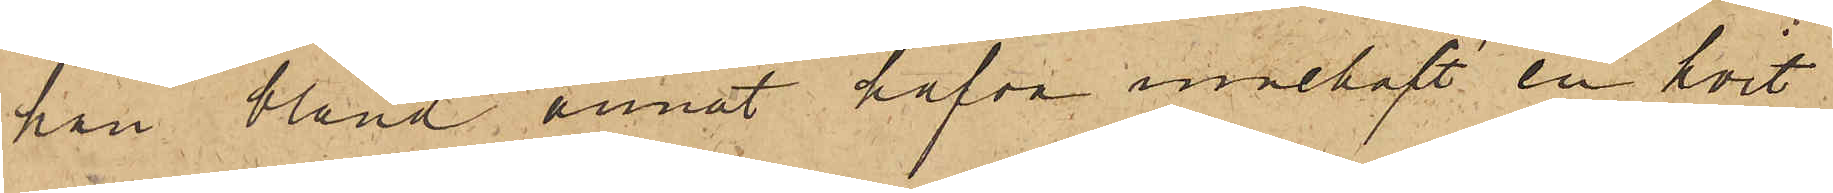han bland annat hafva innehaft en hvit
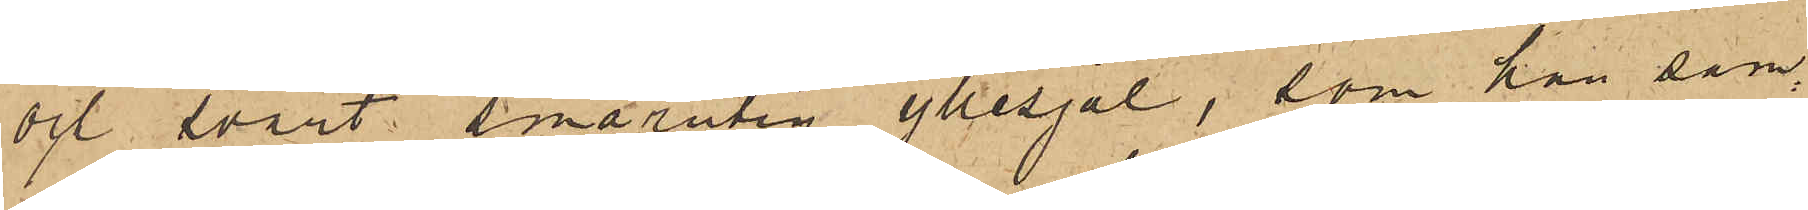och svart smårutig yllesjal, som han sam¬
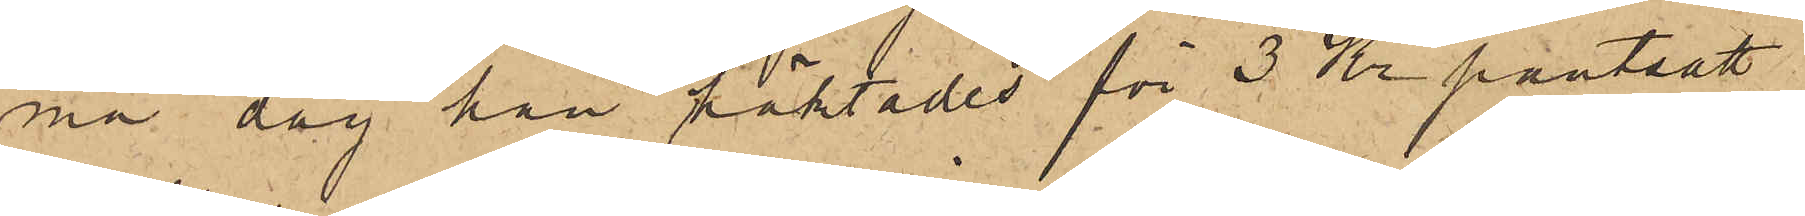ma dag han häktades för 3 Kr pantsatt
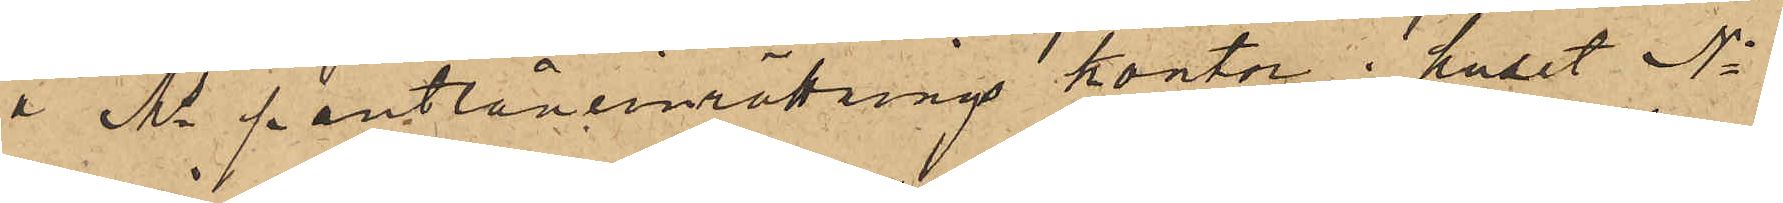i Ms pantlåneinrättnings kontor i huset No
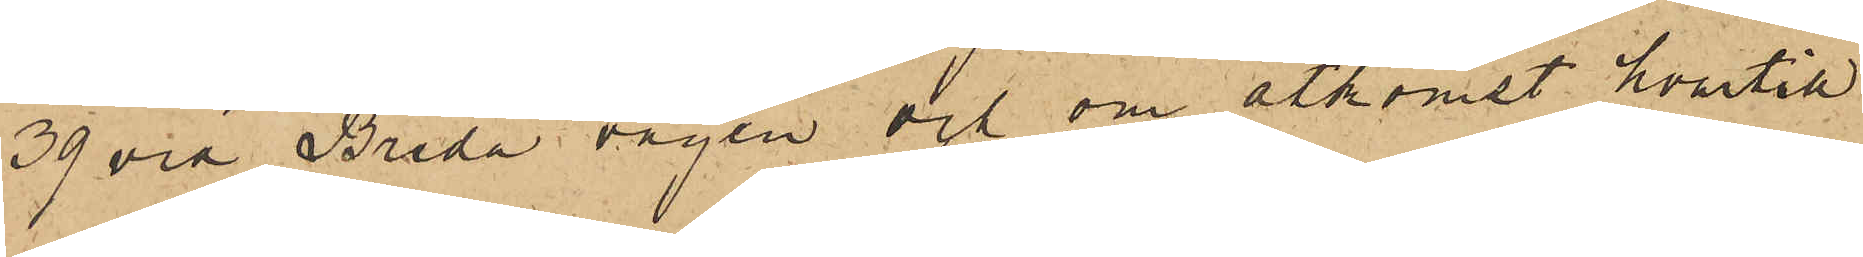39 vid Breda vägen och om åtkomst hvartill
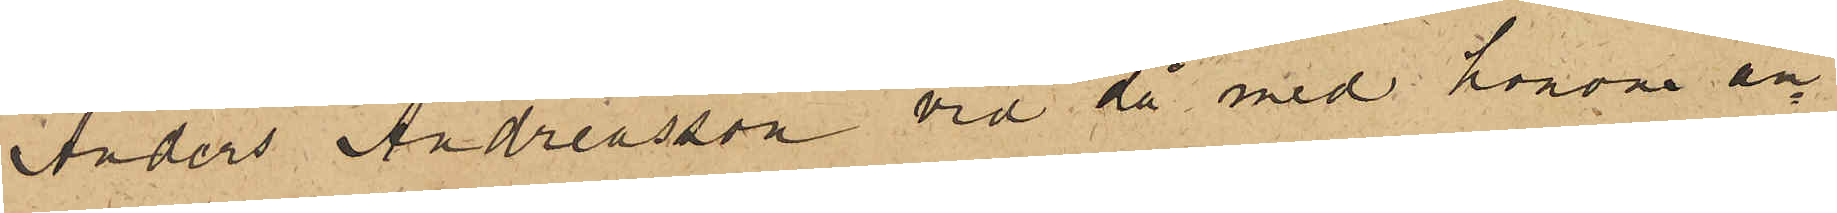Anders Andreasson vid då med honom an¬
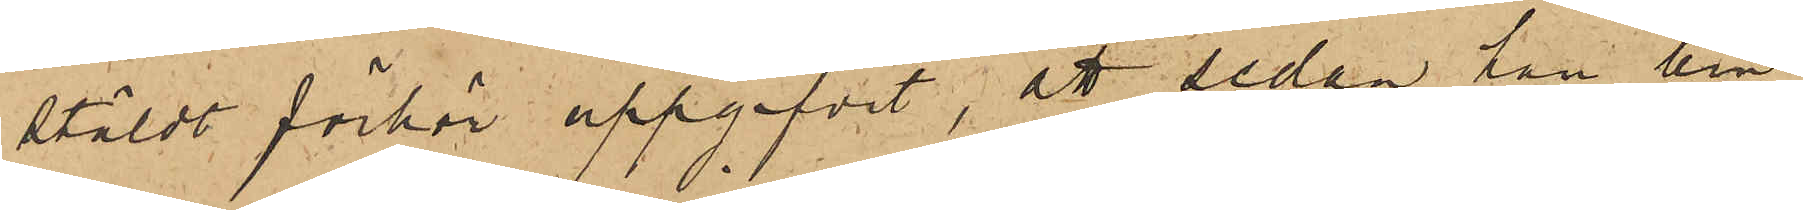stäldt förhör uppgifvit, att sedan han lem¬
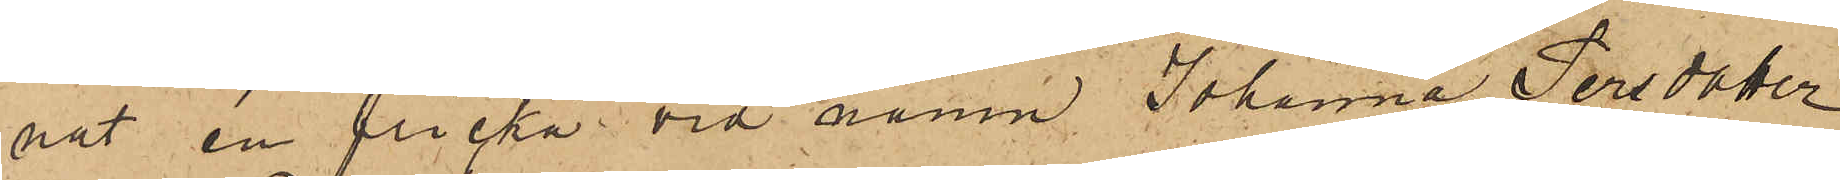nat en flicka vid namn Johanna Persdotter
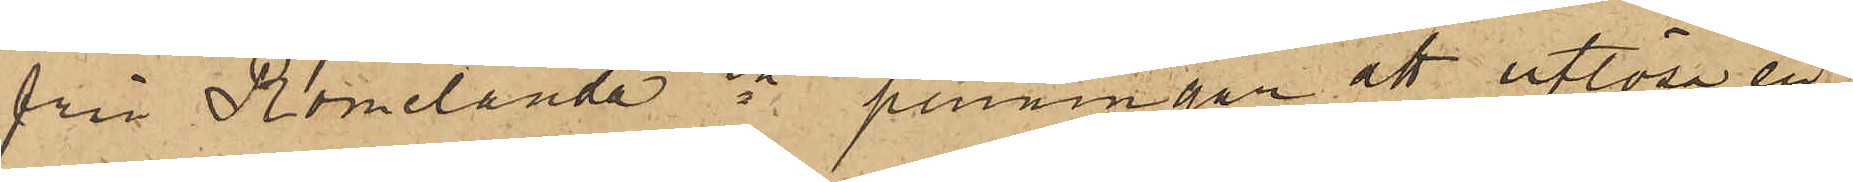från Romelande sn penningar att utlösa en
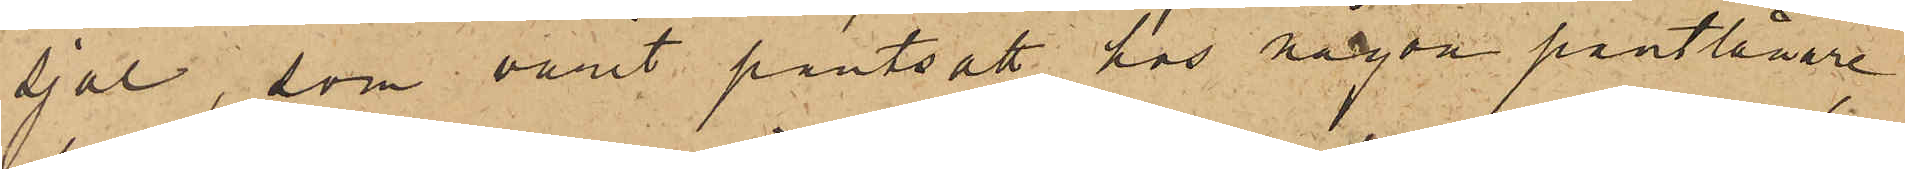sjal, som varit pantsatt hos någon pantlånare,
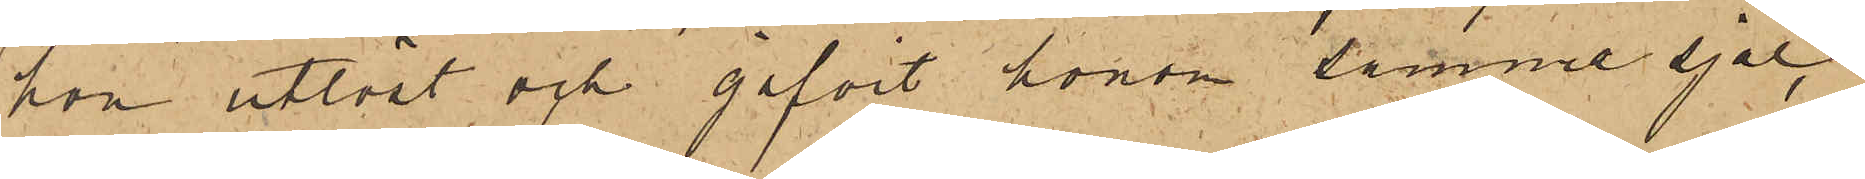hon utlöst och gifvit honom samme sjal,
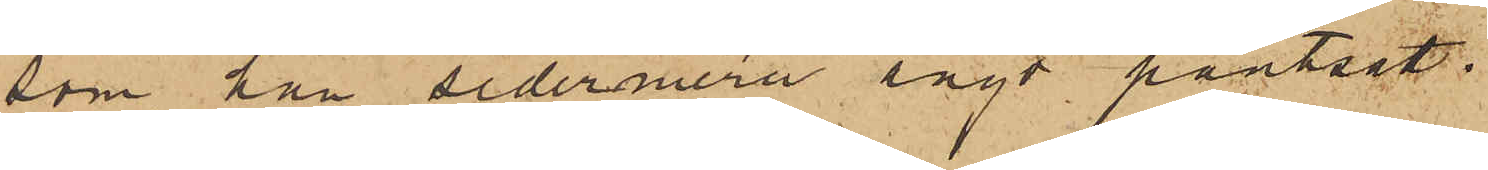som han sedermera ånyo pantsatt.
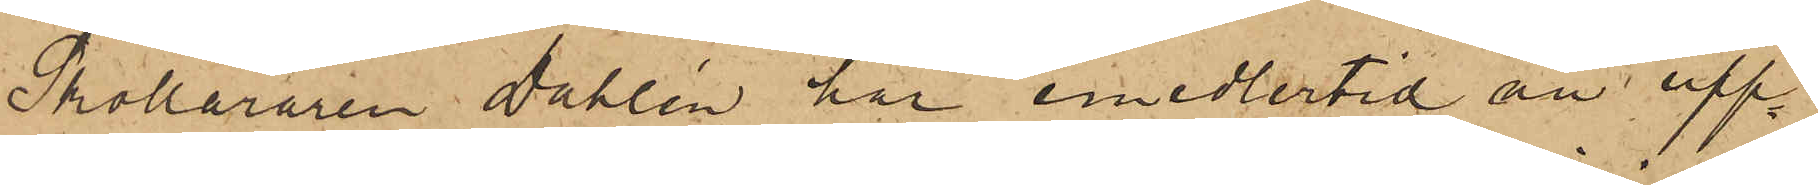Skolläraren Dahlin har emedlertid nu upp¬
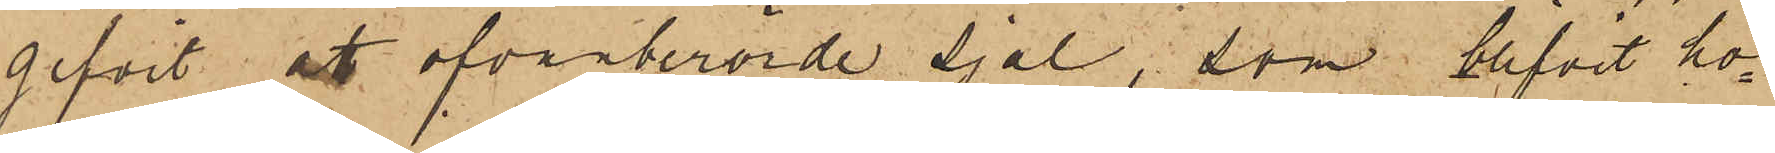gifvit att ofvanberörde sjal, som blifvit ho¬
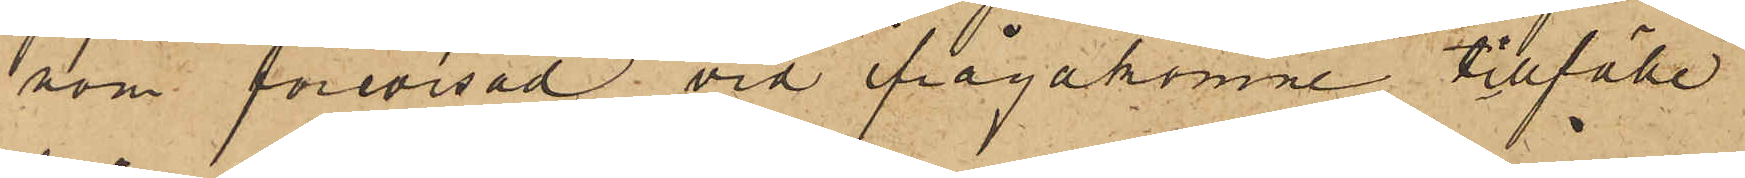som förevisad vid ifrågakomne tillfälle
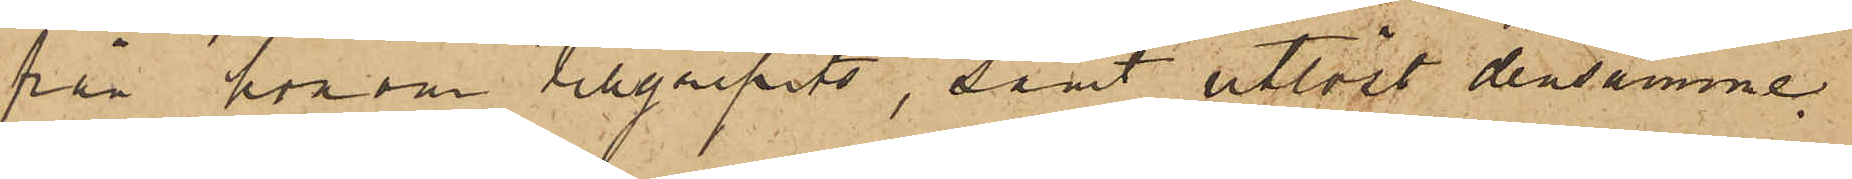från honom tillgripits, samt utlöst densamme.
